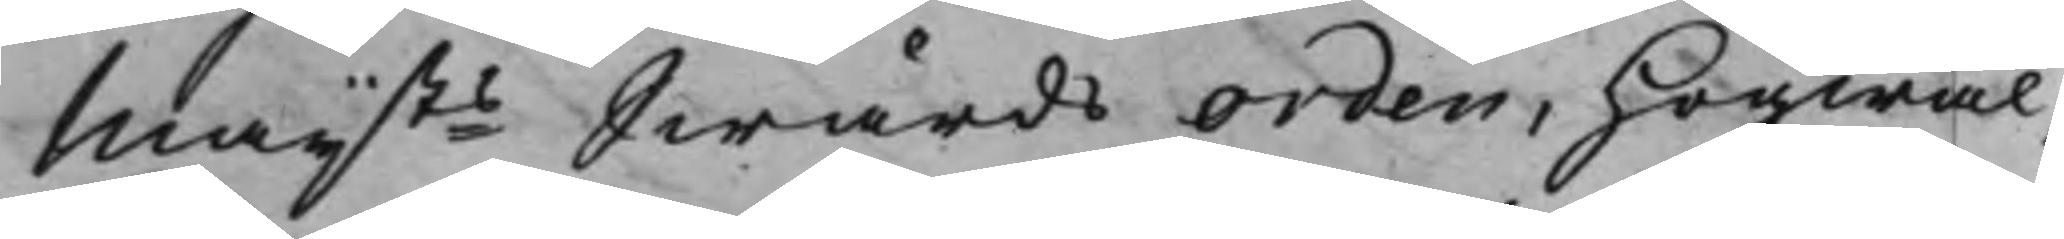Maijts Swärds Orden, Hogwäl¬
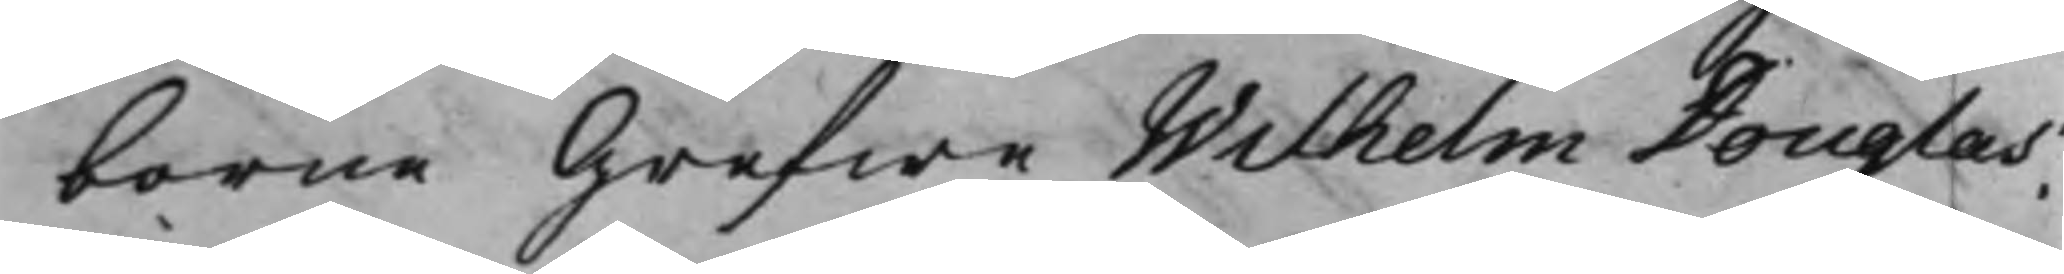borne Grefwe Wilhelm Douglas.
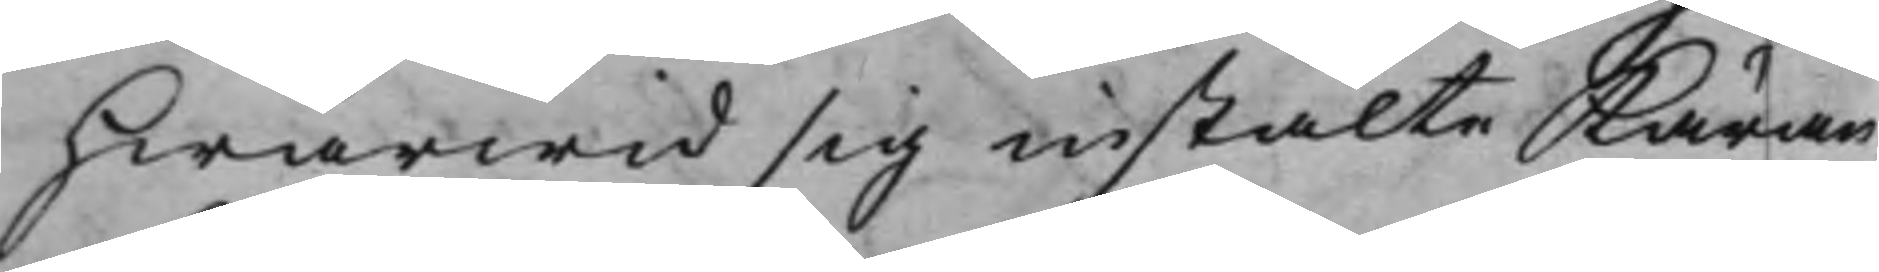Hwarwid sig instälte Käran¬
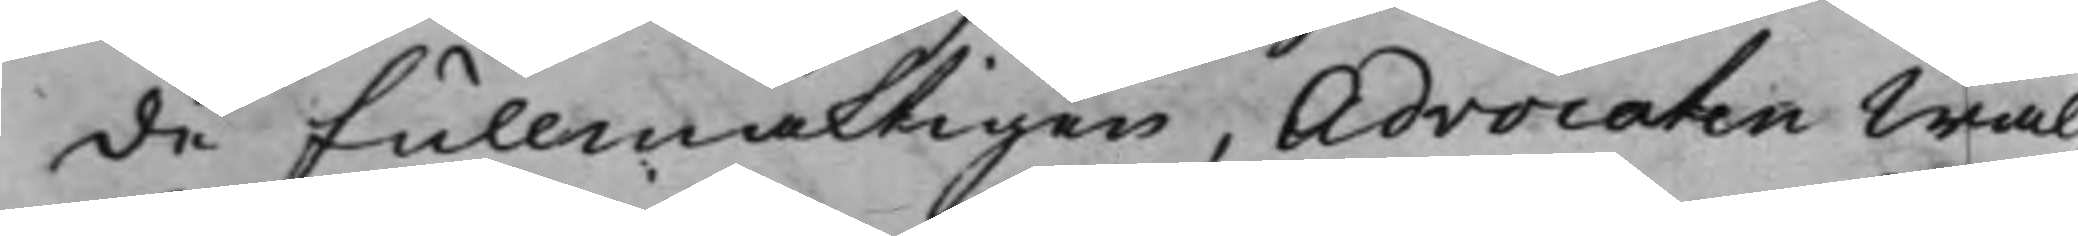de Fullmäktigen, Advocaten Wäl¬
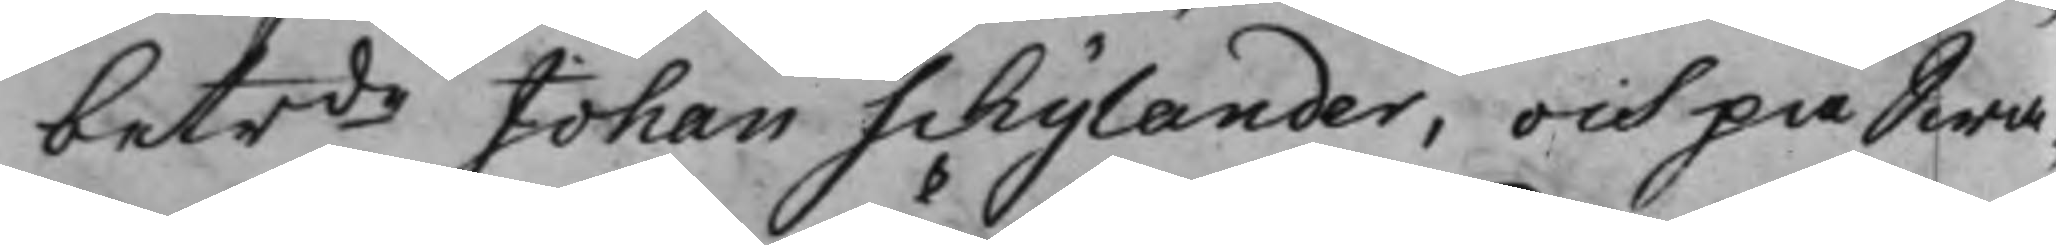betrde Johan Schylander, och på Swa¬
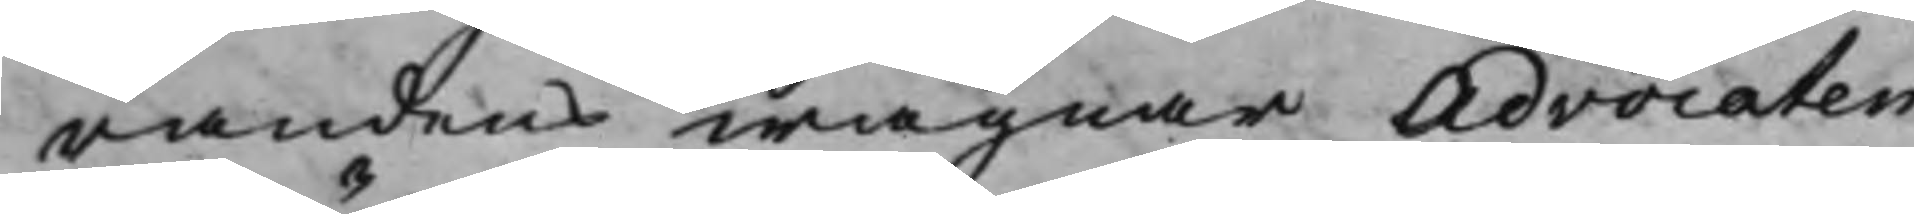randens wägnar Advocaten
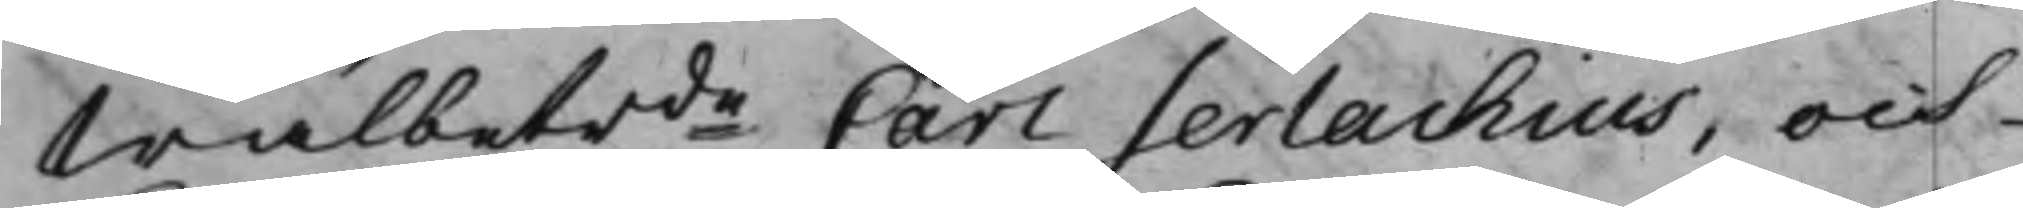Wälbetrde Carl Serlachius, och
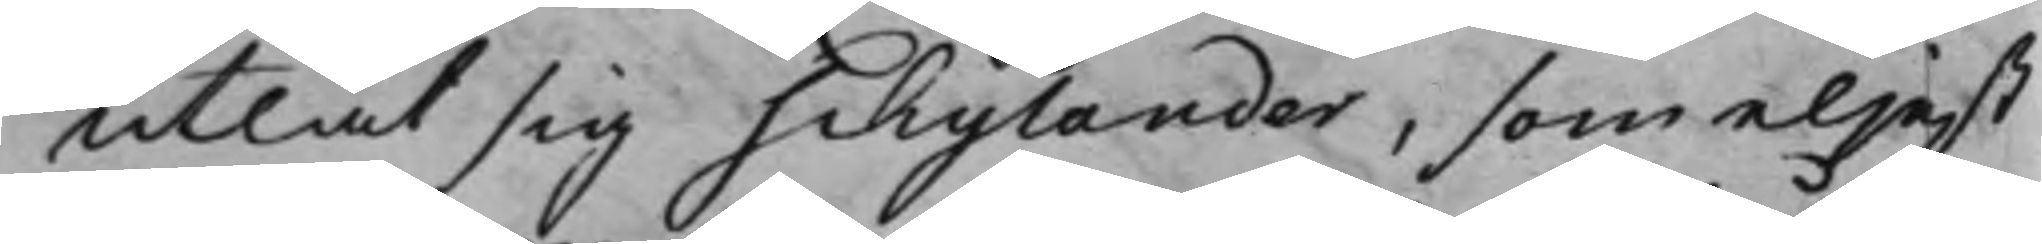utlät sig Schylander, som eljest
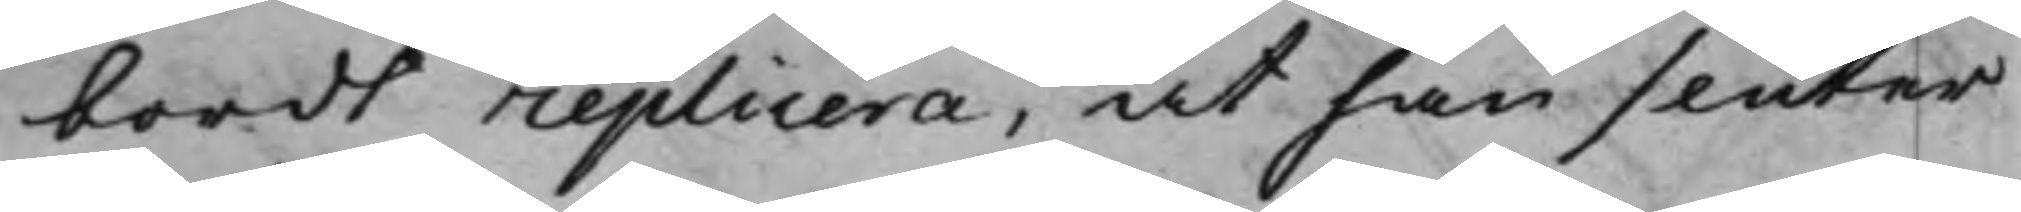bordt replicera, at han slutar
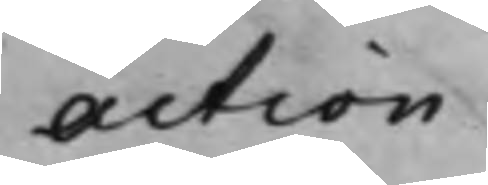Action.
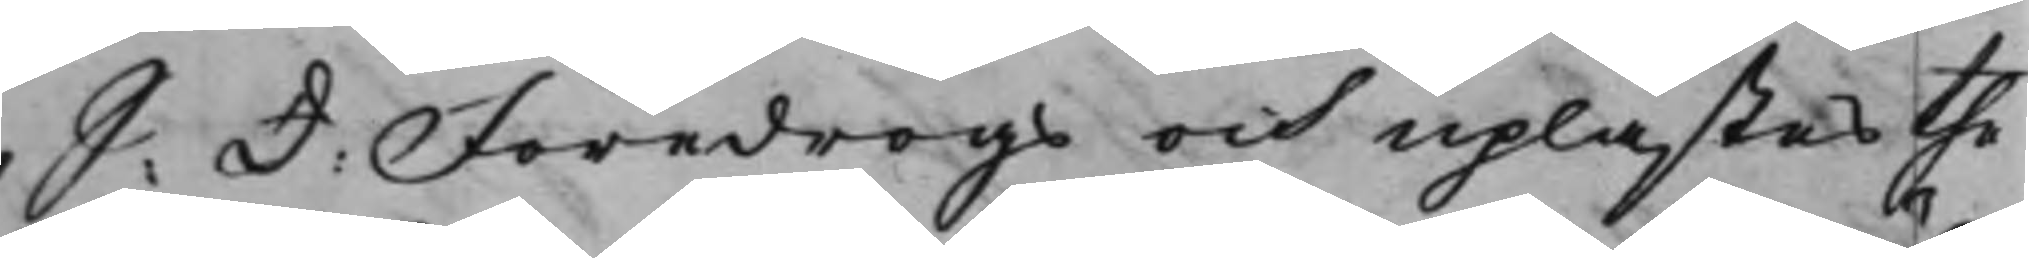S: d: Föredrogs och uplästes the
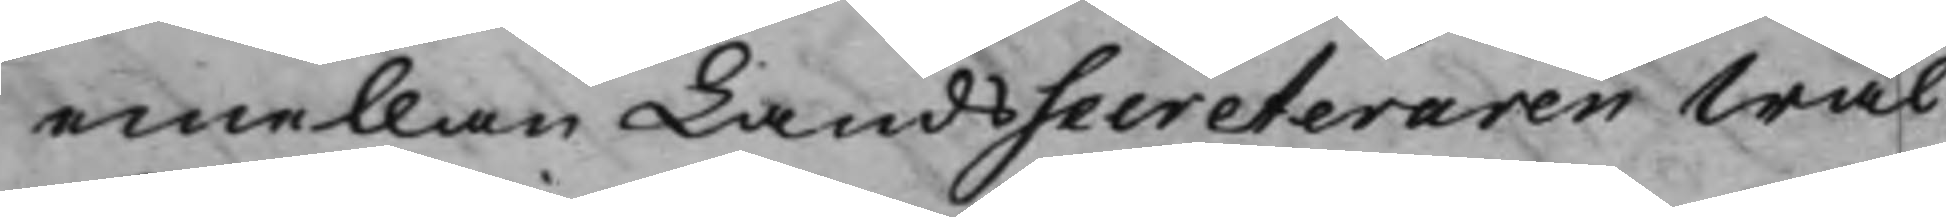emellan LandsSecreteraren Wäl¬
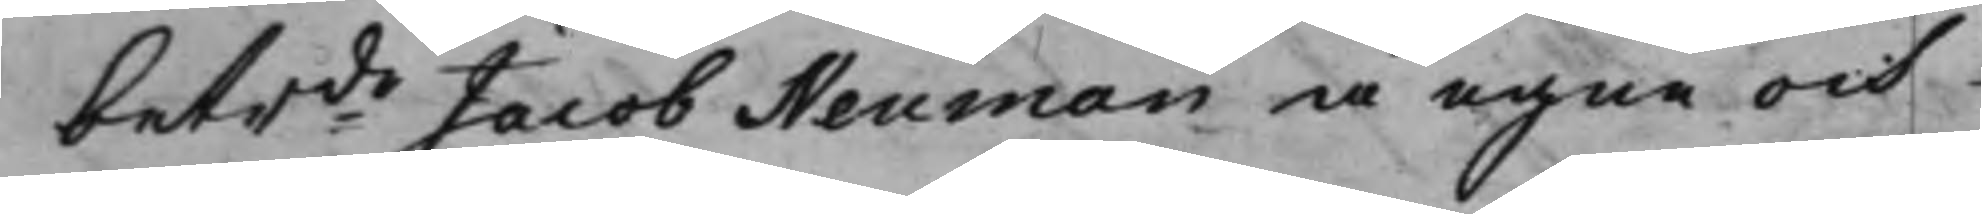betrde Jacob Neuman å egne och
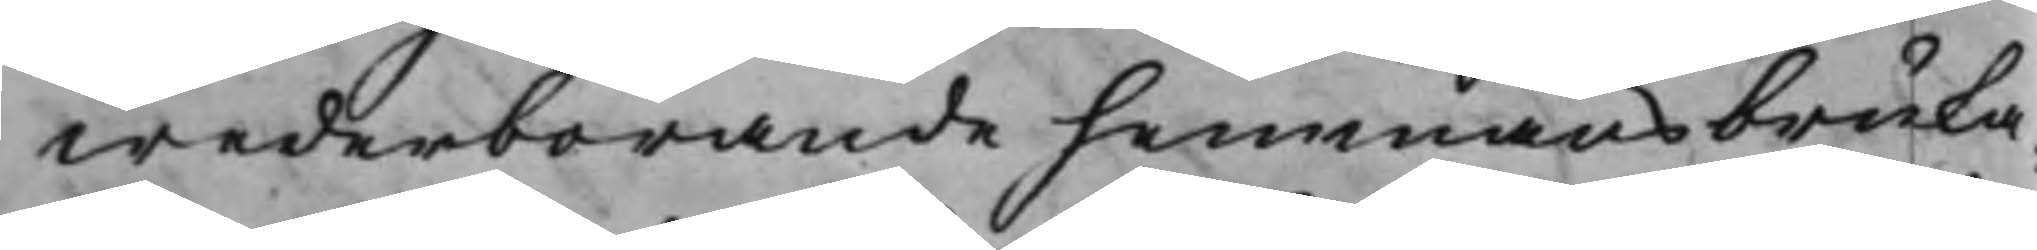wederbörande hemmansbruka¬
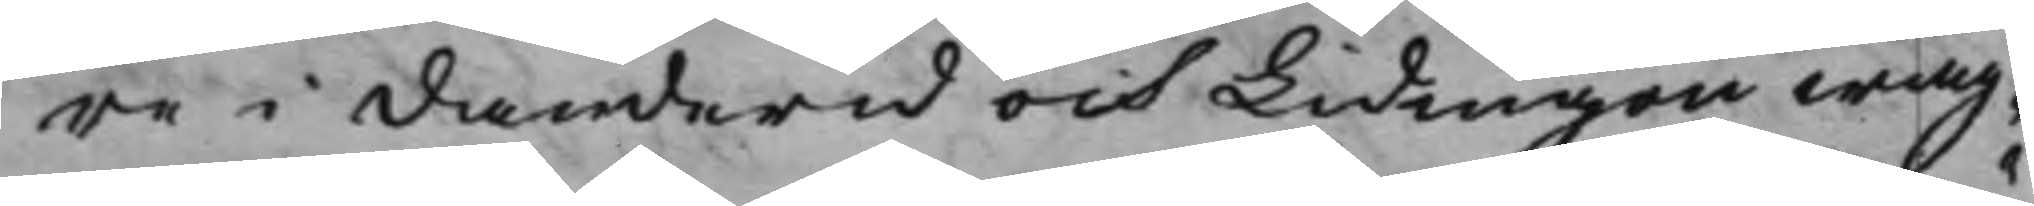re i Danderid och Lidingön wäg¬
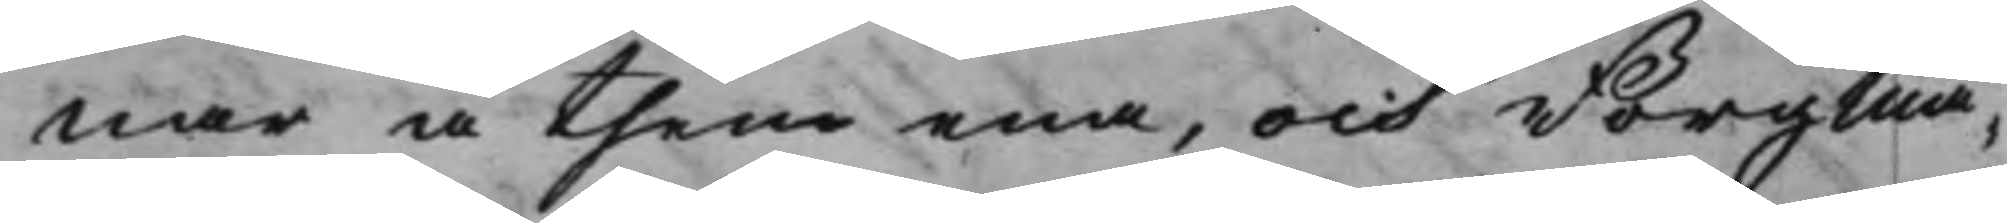nar å then ena, och Borgmä¬
